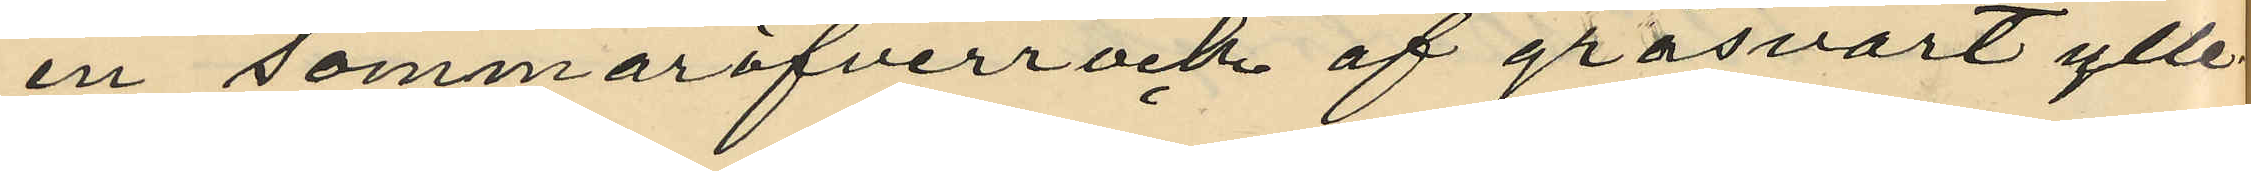en sommaröfverrock af gråsvart ylle¬
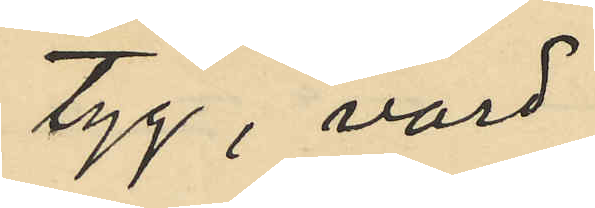tyg, värd
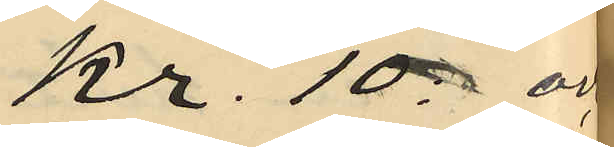kr. 10: och
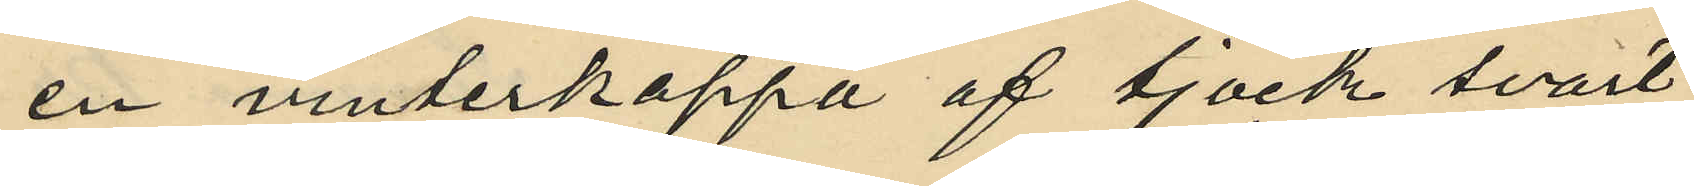en vinterkappa af tjock svart
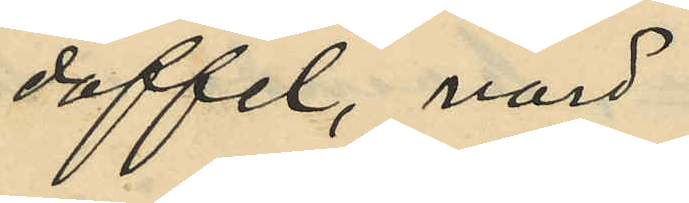doffel, värd
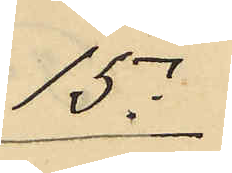15:
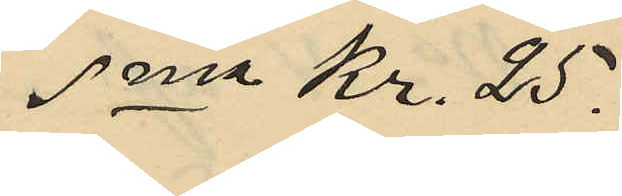Sma Kr. 25.
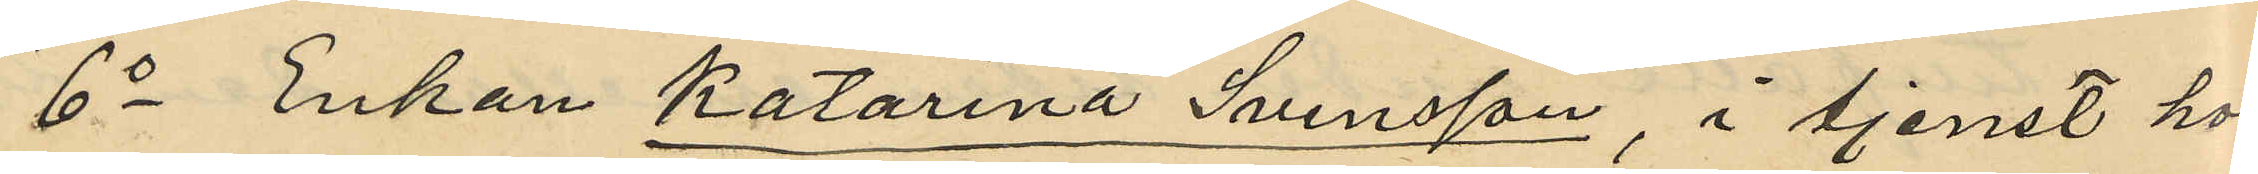6o Enkan Katarina Svensson, i tjenst hos
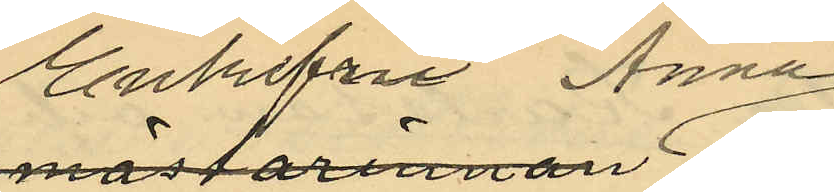Enkefru Anna
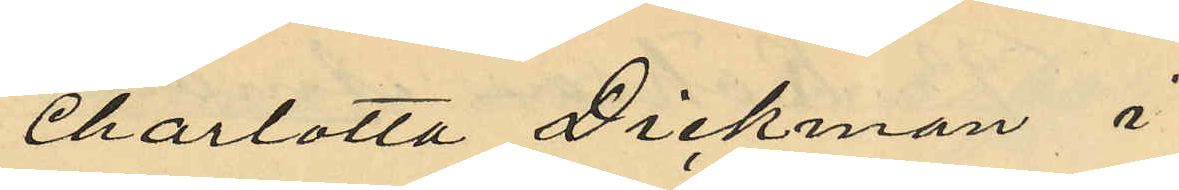Charlotta Dickman i
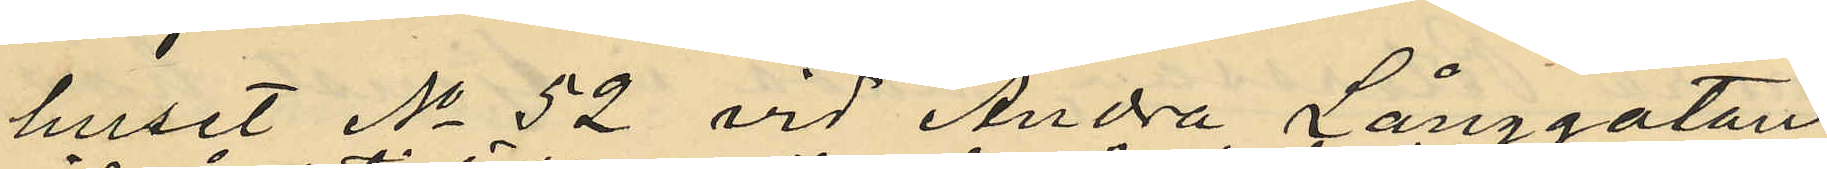huset No 52 vid Andra Långgatan
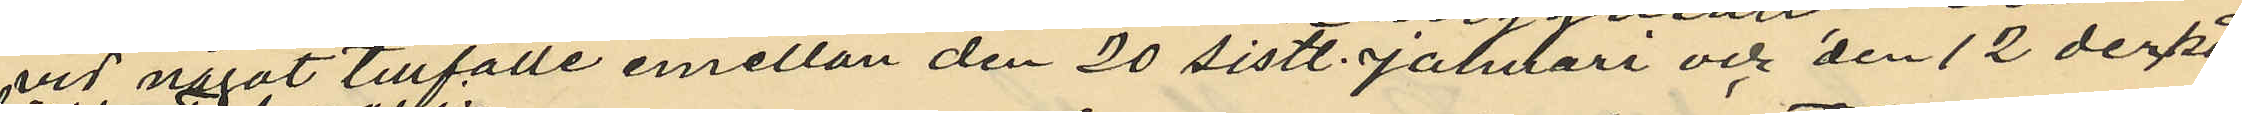vid något tillfälle emellan den 20 sistl. Januari och den 12 derpå¬
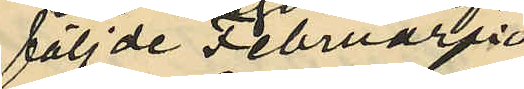följde Februari
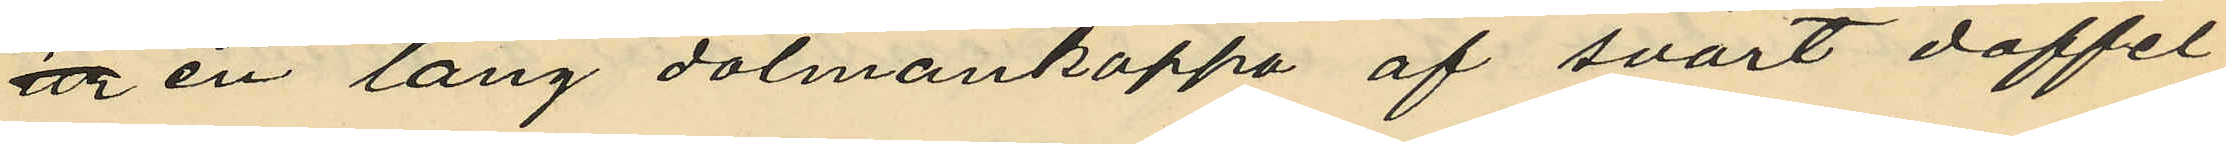ur en lång dolmankappa af svart doffel,
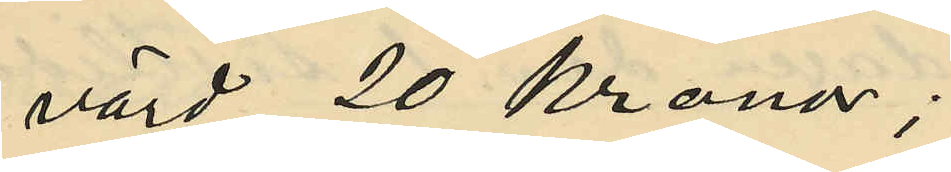värd 20 Kronor;
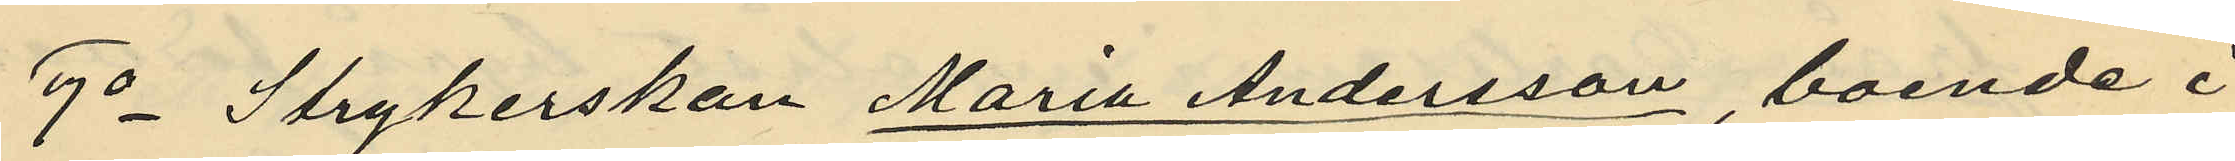7o Strykerskan Maria Andersson, boende i
